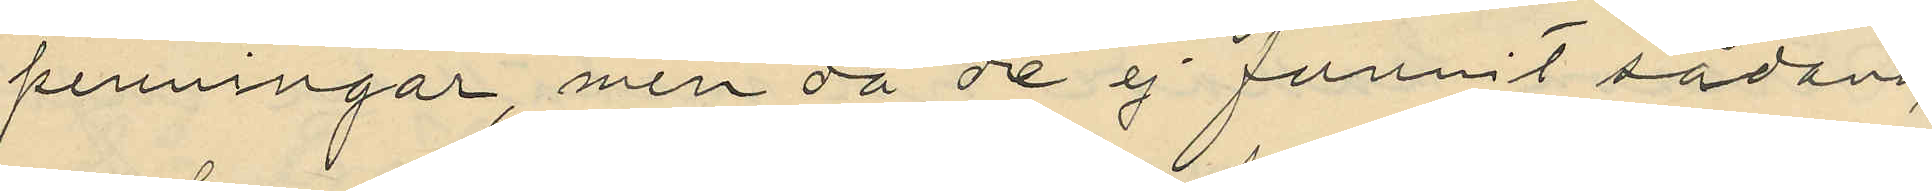penningar, men då de ej funnit sådana
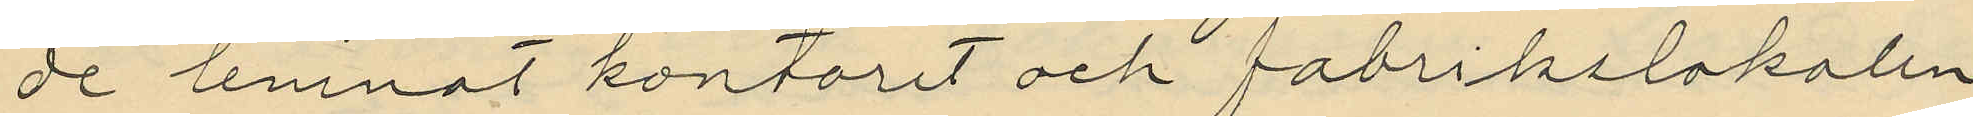de lemnat kontoret och fabrikslokalen
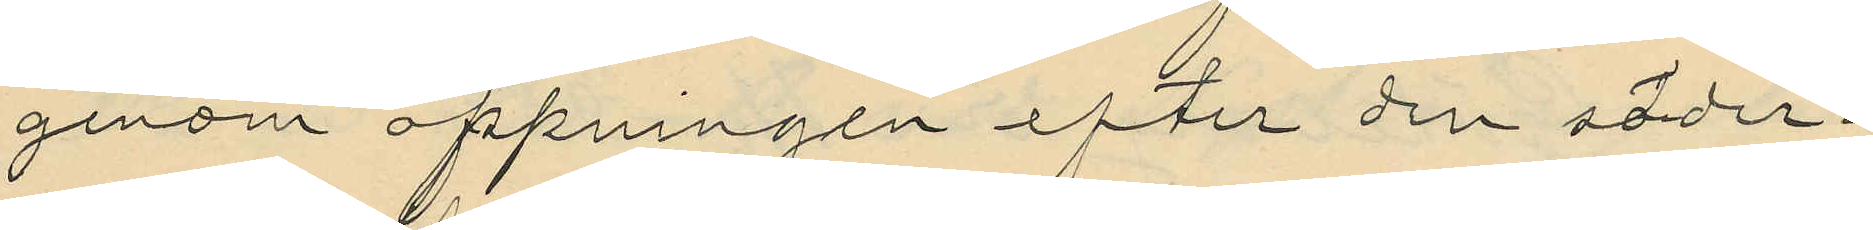genom öppningen efter den sönder¬
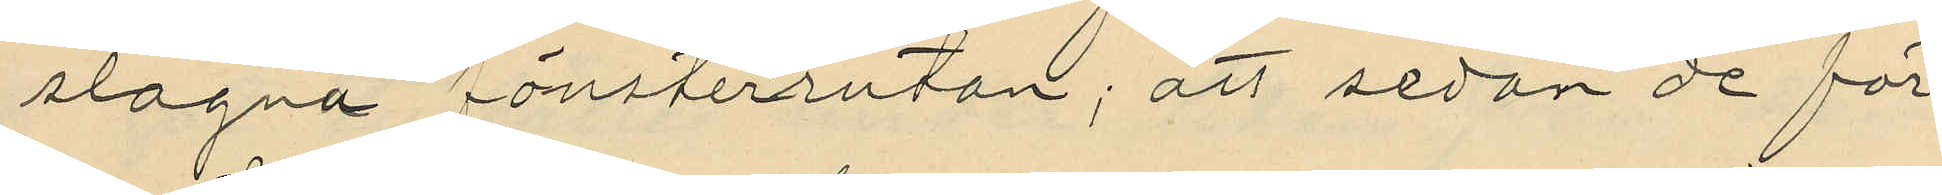slagna fönsterrutan; att sedan de för
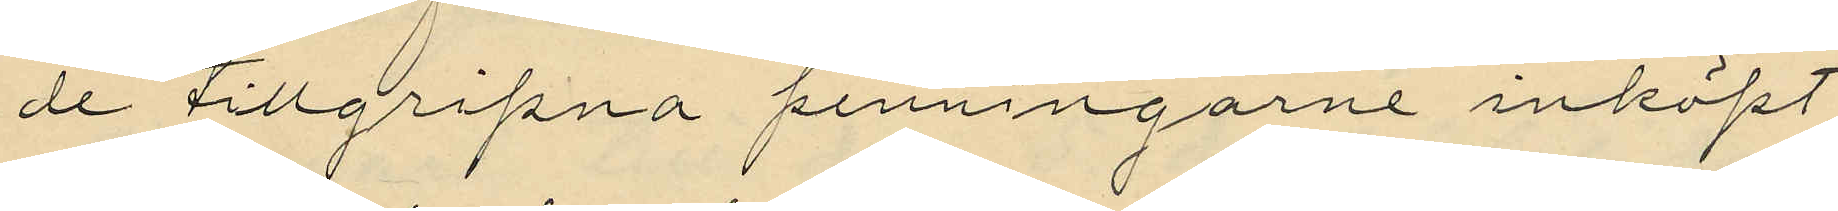de tillgripna penningarne inköpt
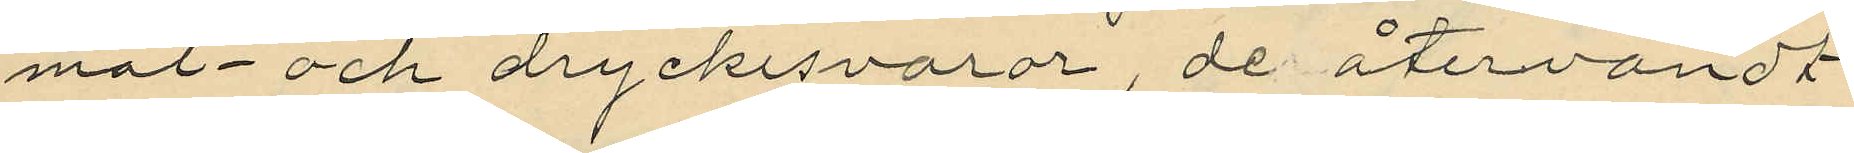mat och drycksvaror, de återvändt
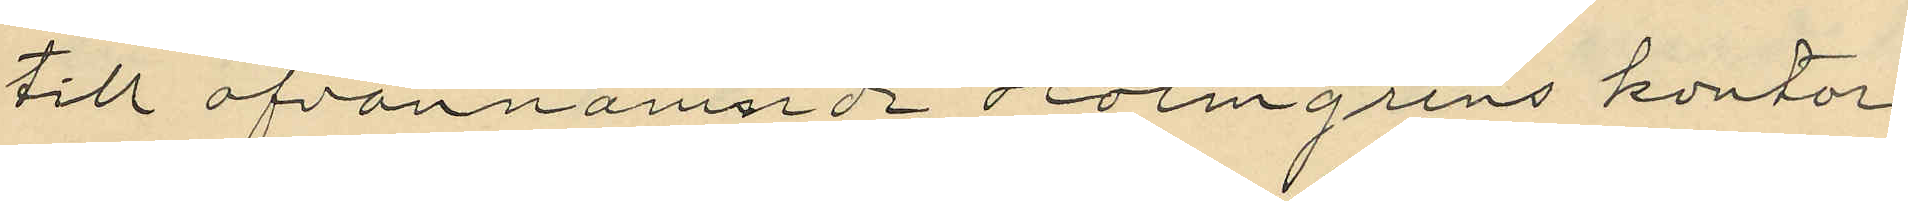till ofvannämnde Holmgrens kontor
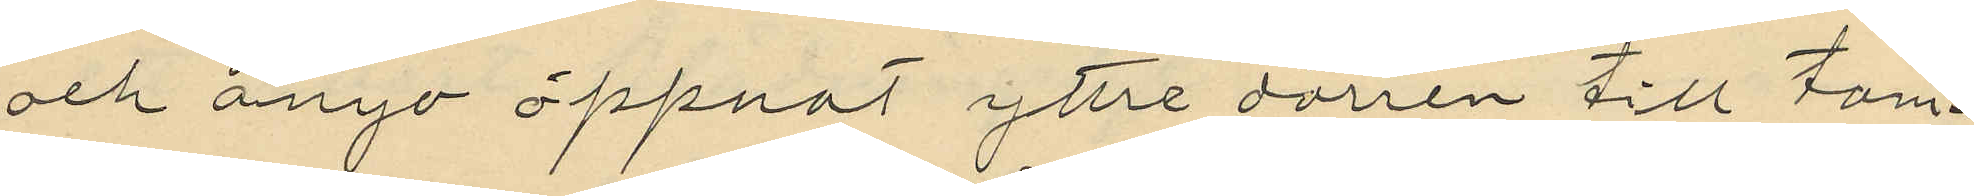och ånyo öppnat yttre dörren till tam¬
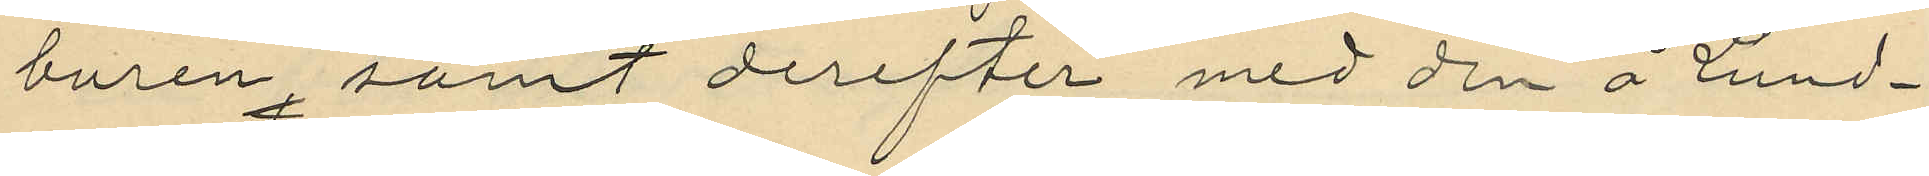buren, samt derefter med den å Lund¬
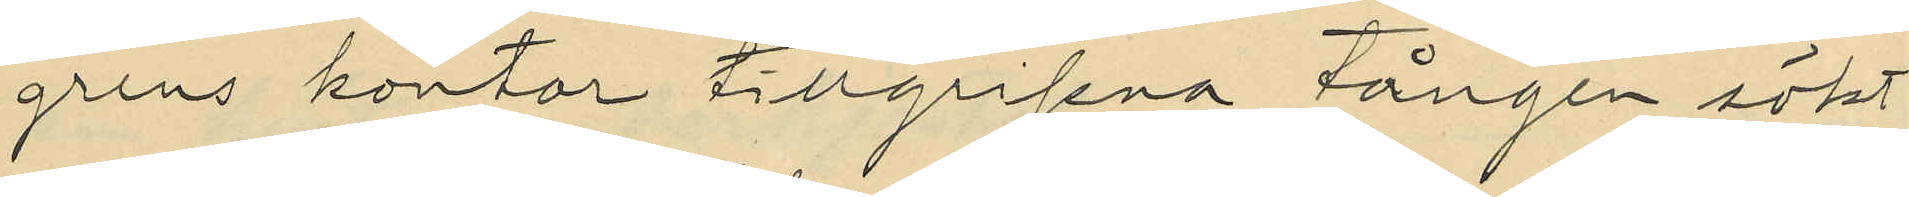grens kontor tillgripna tången sökt
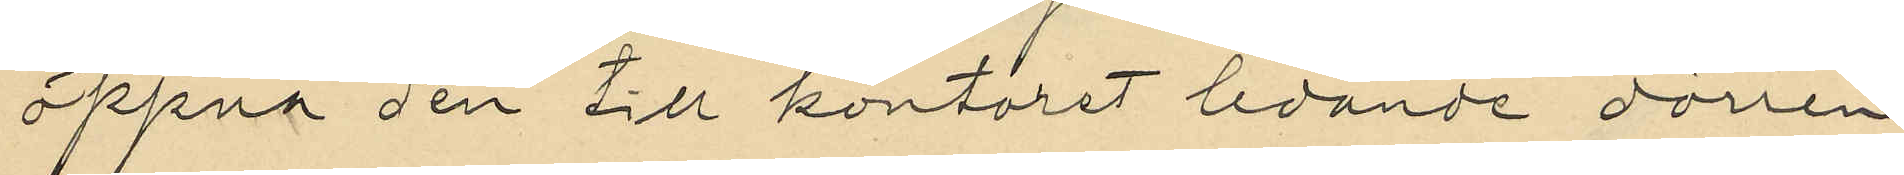öppna den till kontoret ledande dörren
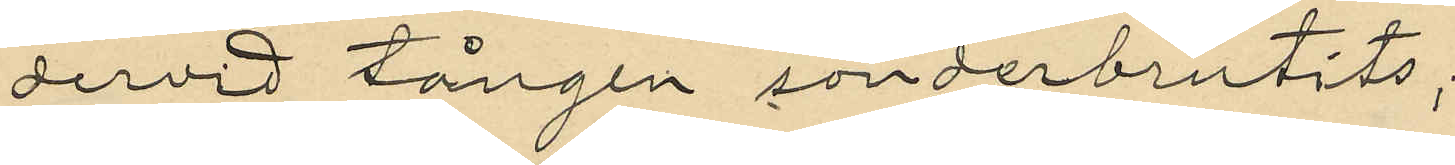dervid tången sönderbrutits;
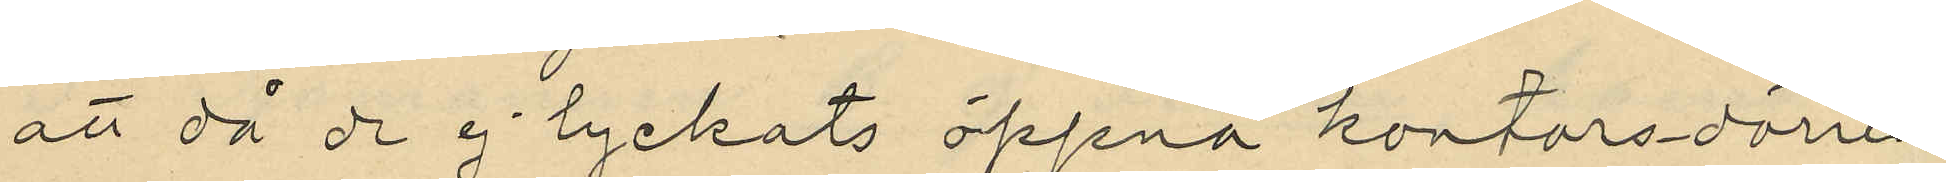att då de ej lyckats öppna kontorsdörren
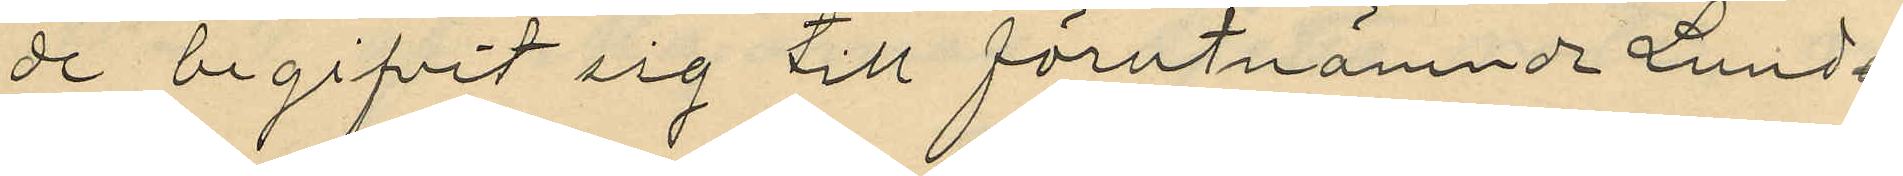de begifvit sig till förutnämnde Lund¬
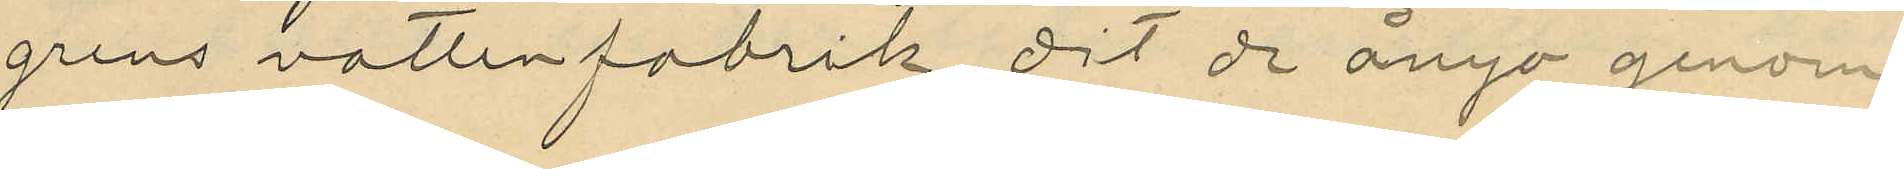grens vattenfabrik, dit de ånyo genom
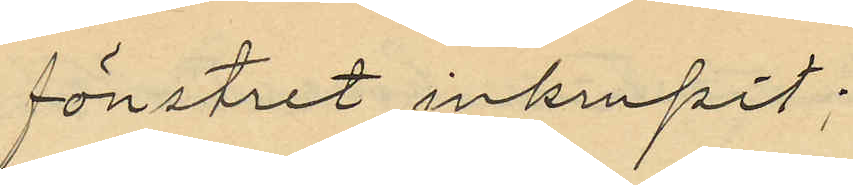fönstret inkrupit;
